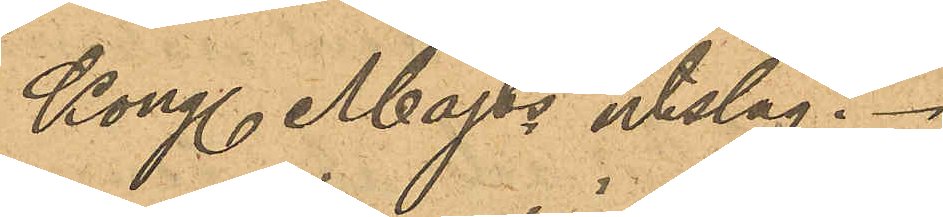Kong. Majts utslag.
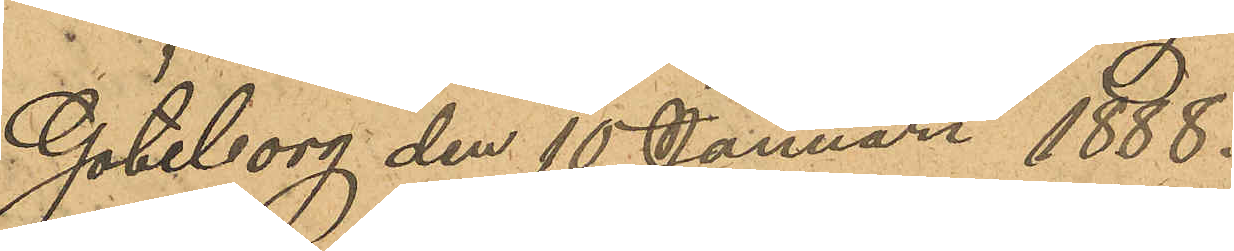Göteborg den 15 Januari 1888.
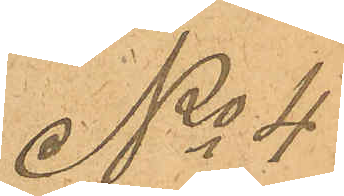No 4
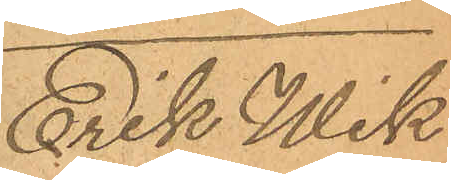Erik Wik¬
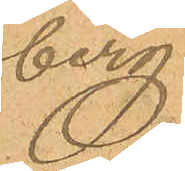berg.
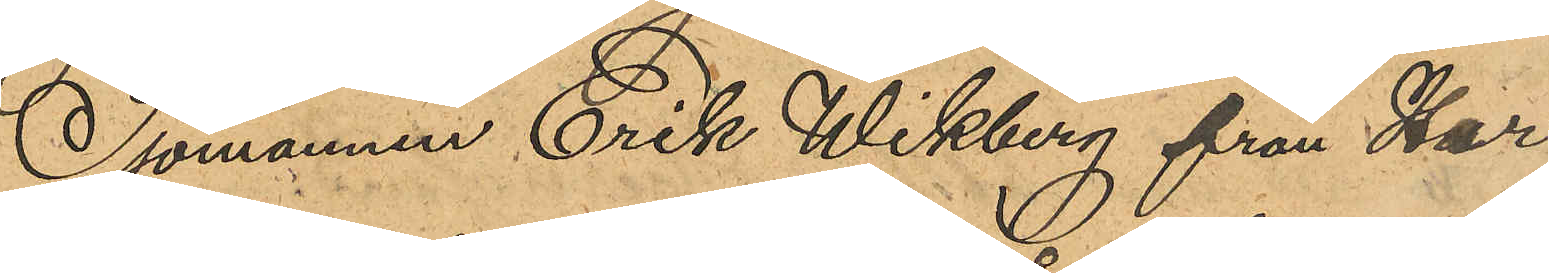Sjömannen Erik Wikberg från Her¬
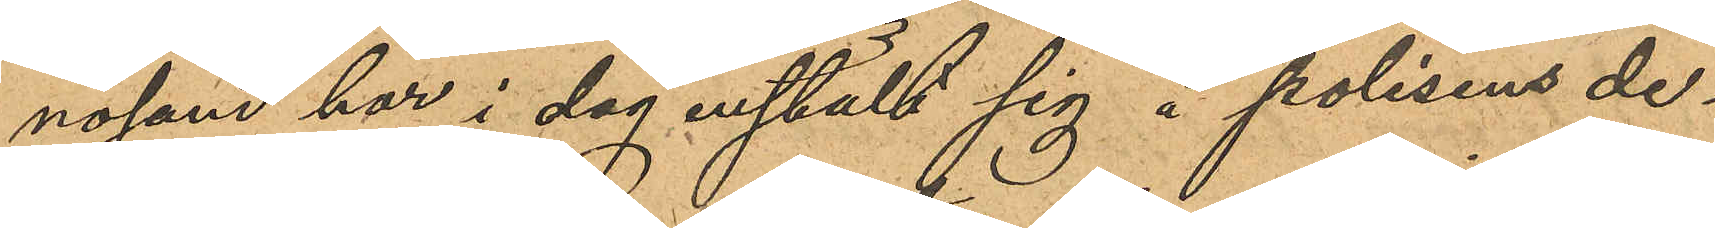nosand har i dag inställt sig å polisens de¬
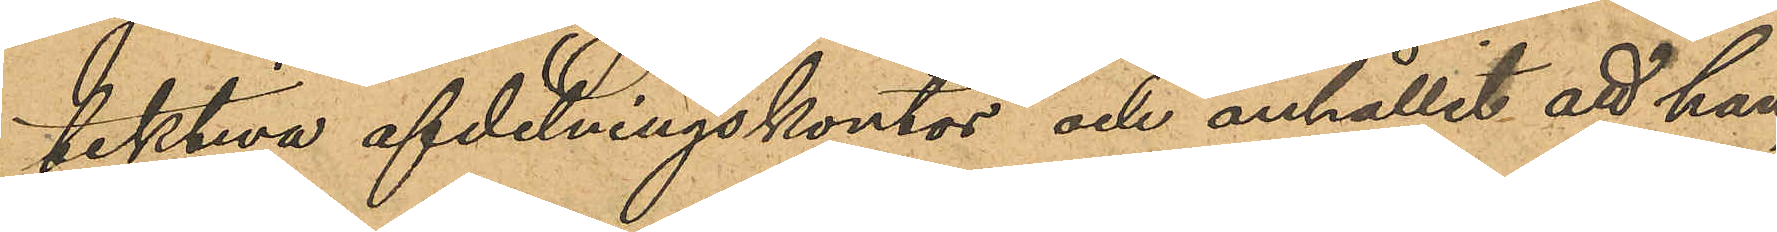dektiva afdelningskontor och anhållit att han
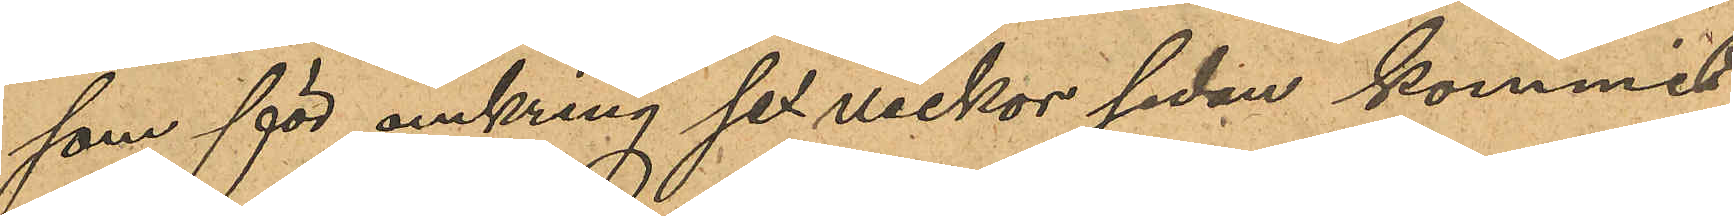som för omkring sex veckor sedan kommit
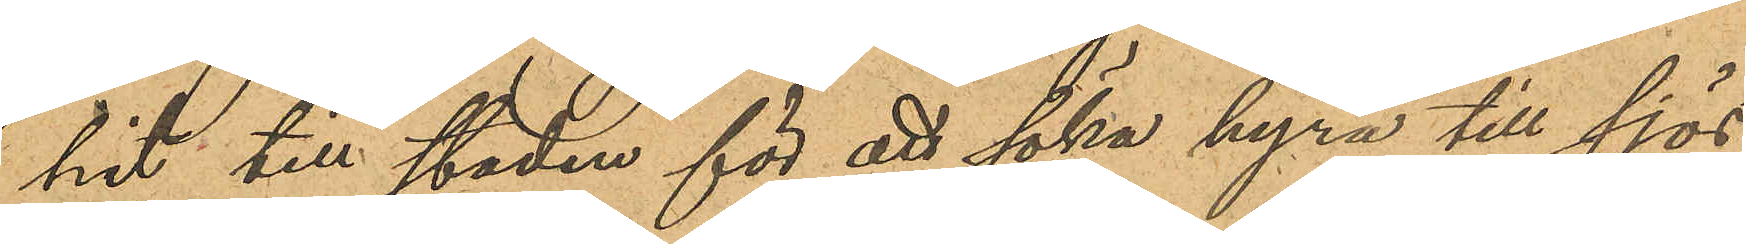hit till staden för att söka hyra till sjös,
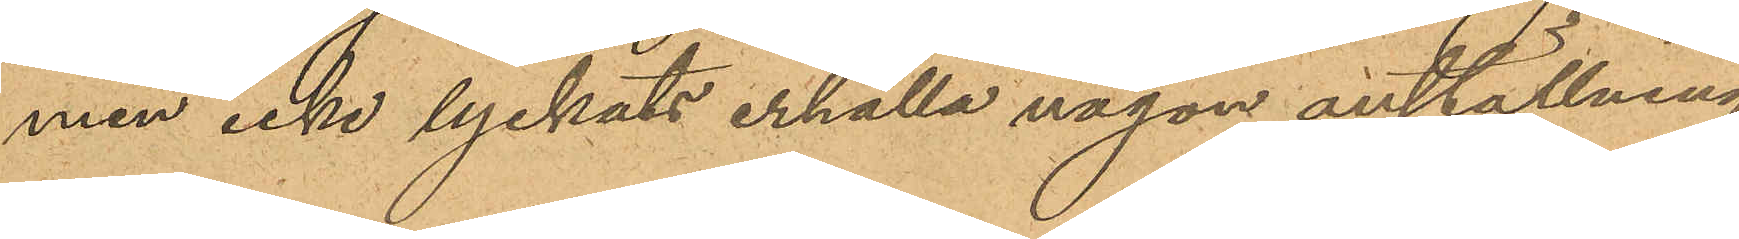men icke lyckats erhålla någon anställning
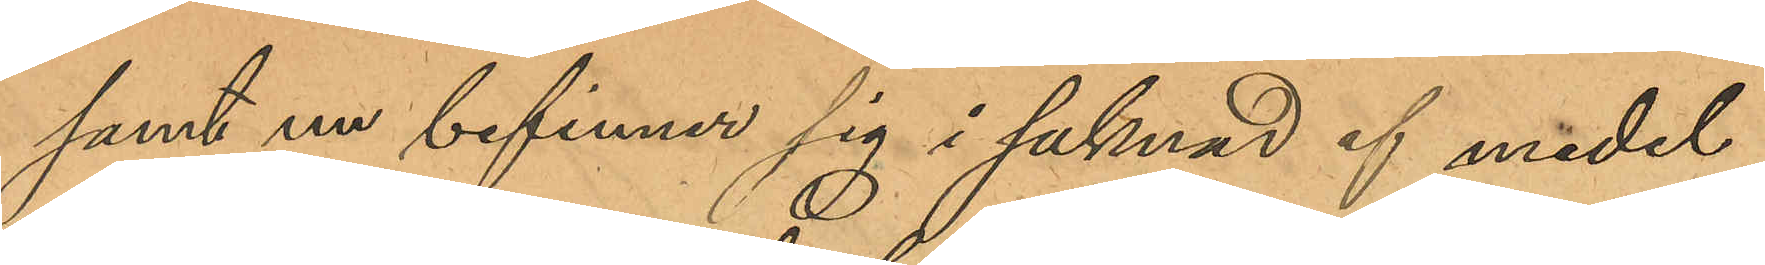samt nu befinner sig i saknad af medel
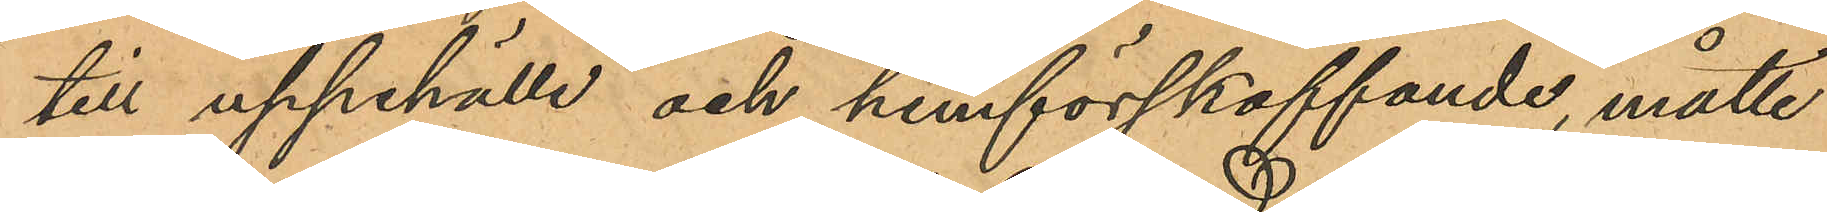till uppehälle och hemförskaffande, måtte
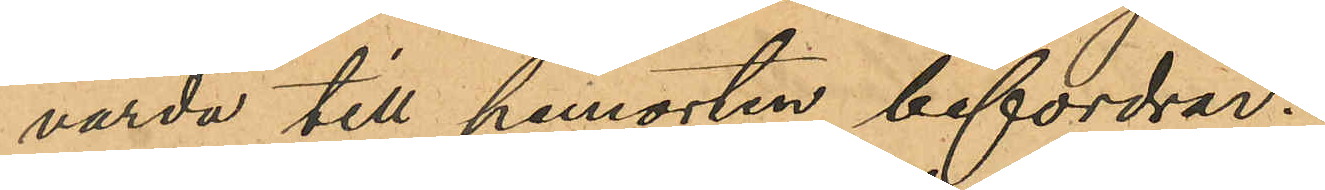varda till hemorten befordrad.
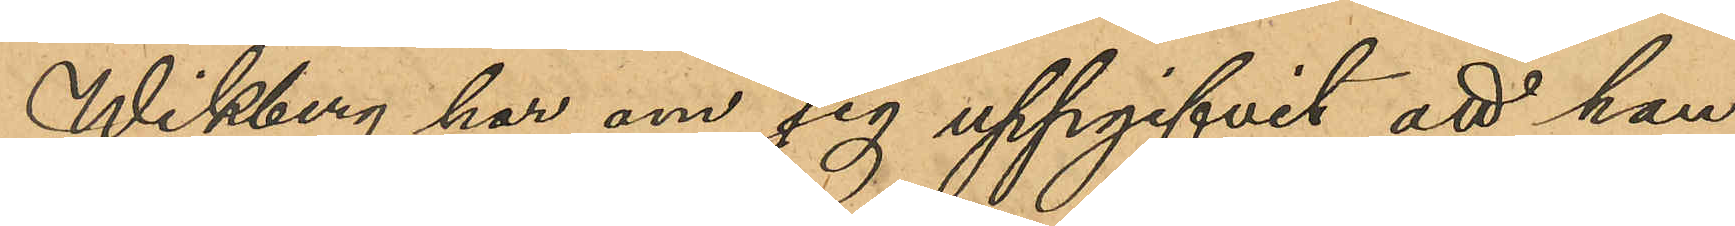Wikberg har om sig uppgifvit att han
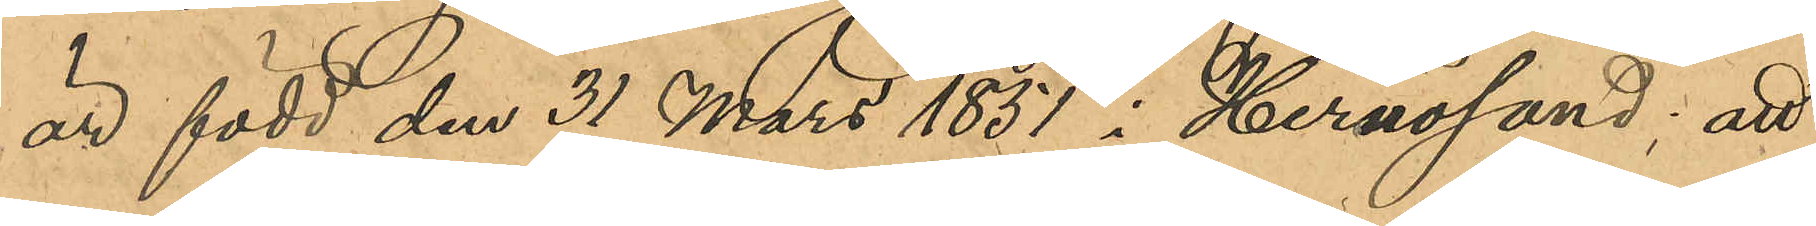är född den 31 Mars 1851 i Hernösand; att
